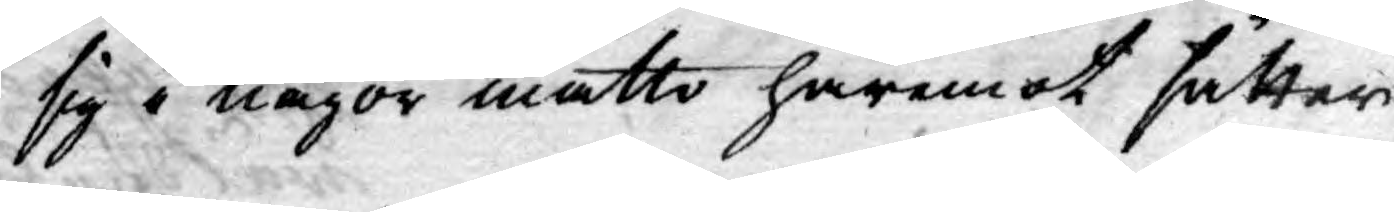sig i någor måtto häremot sätter
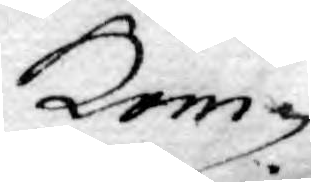Kom¬
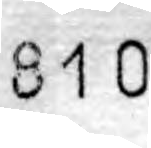810
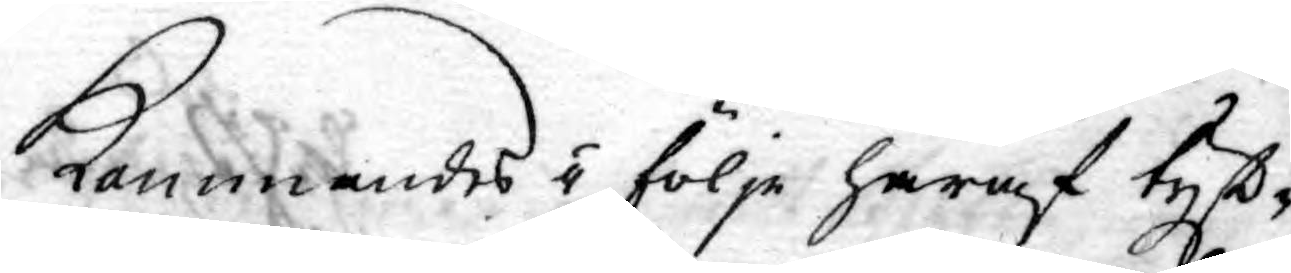Kommandes i följe häraf tyst¬
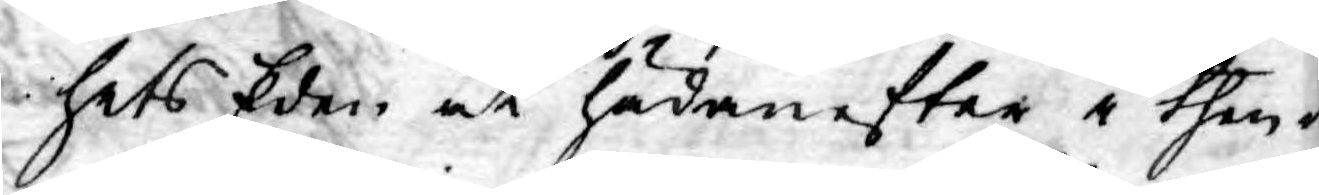hets Eden at hädanefter i then¬
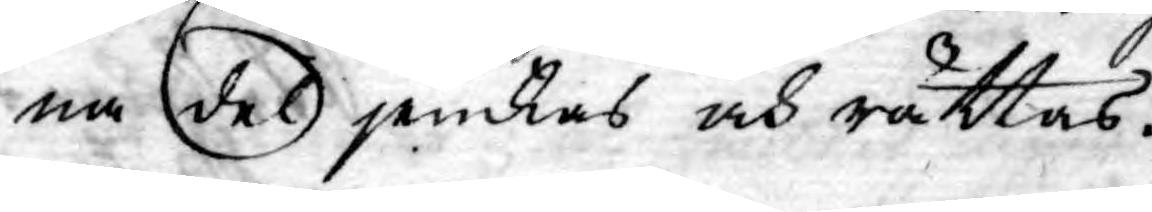na del jemkas och rättas.
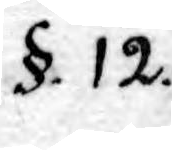§. 12.
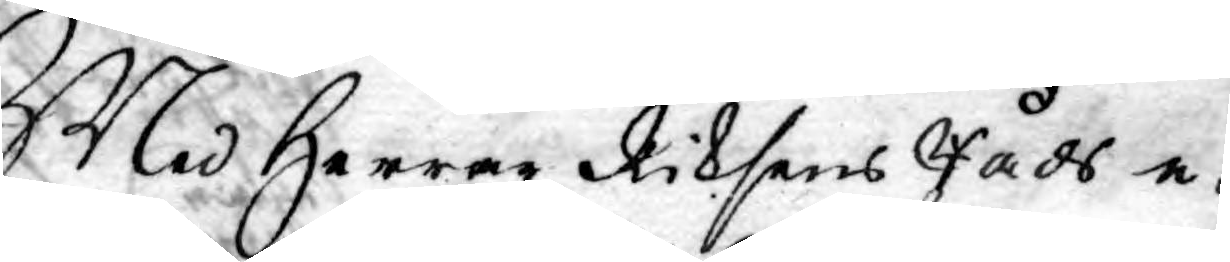Med Herrar Riksens Råds e¬
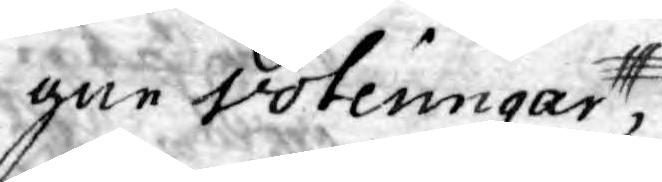gne voteringar,
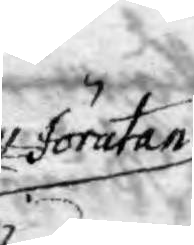förutan
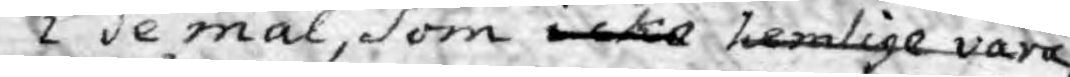i de mål, som icke hemlige vara
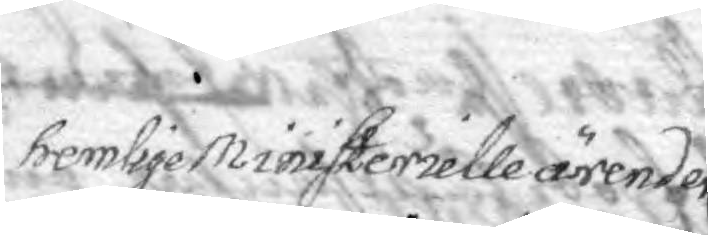hemlige Ministerielle ärender
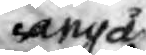angå
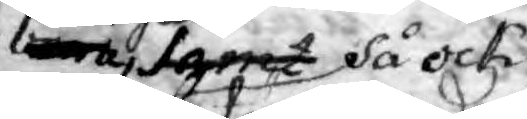samt så ock
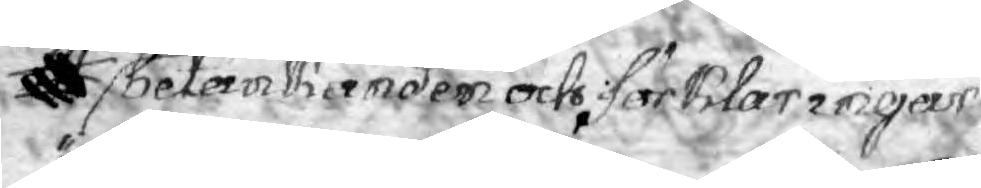betänkanden och förklaringar
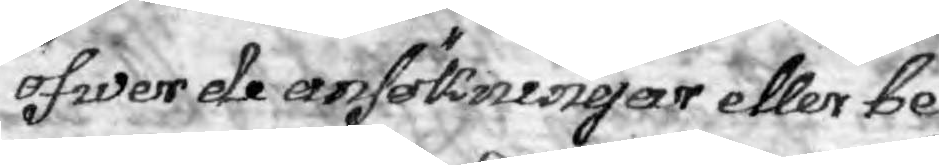öfwer de ansökningar eller be¬
